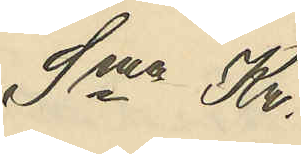Sma Kr. 
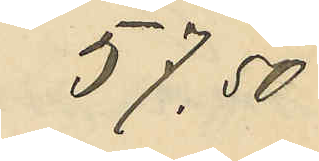57.50
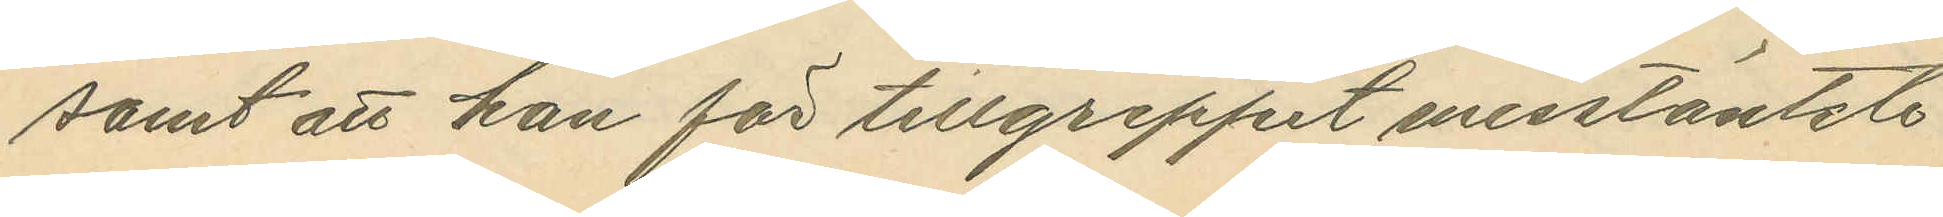samt att han för tillgreppet misstänkte
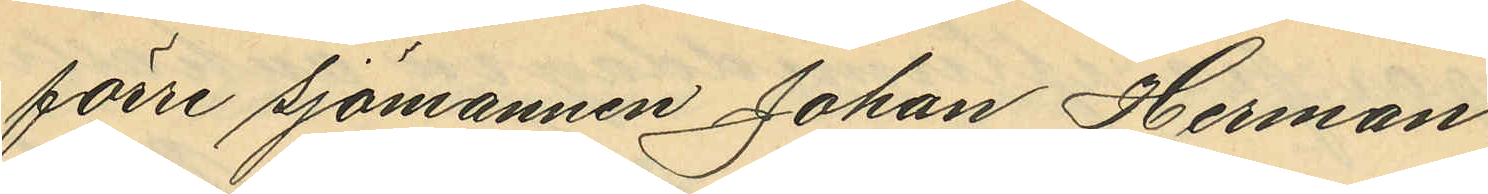förre sjömannen Johan Herman
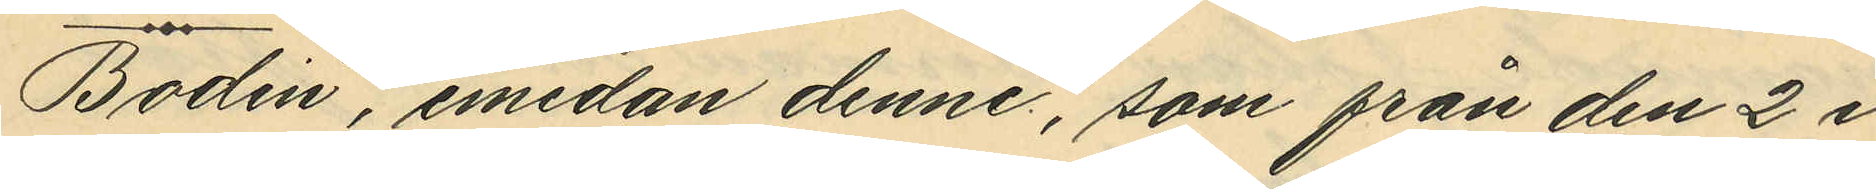Bodin, emedan denne, som från den 2 i
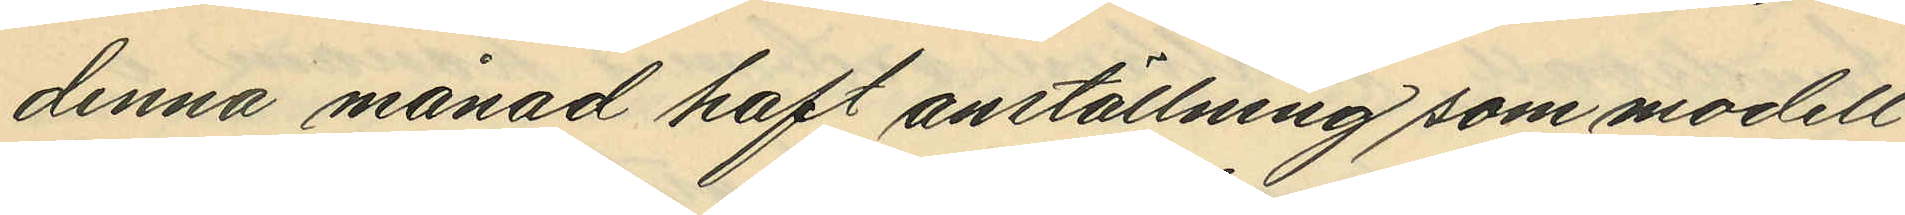denna månad haft anställning som modell
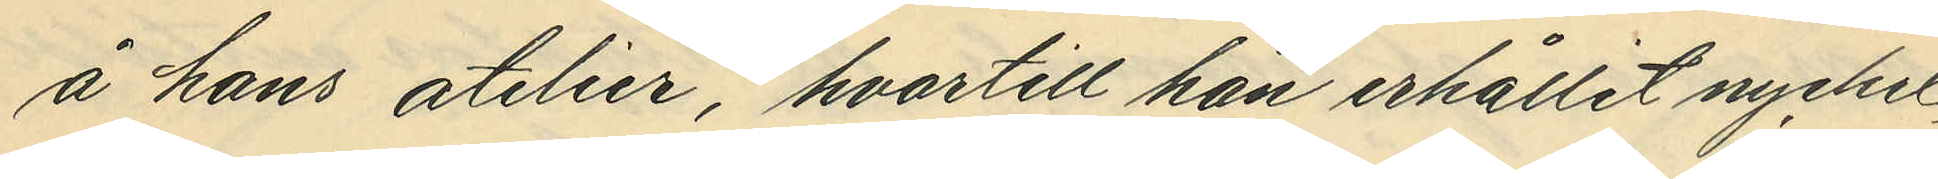å hans atelier, hvartill han erhållit nyckel,
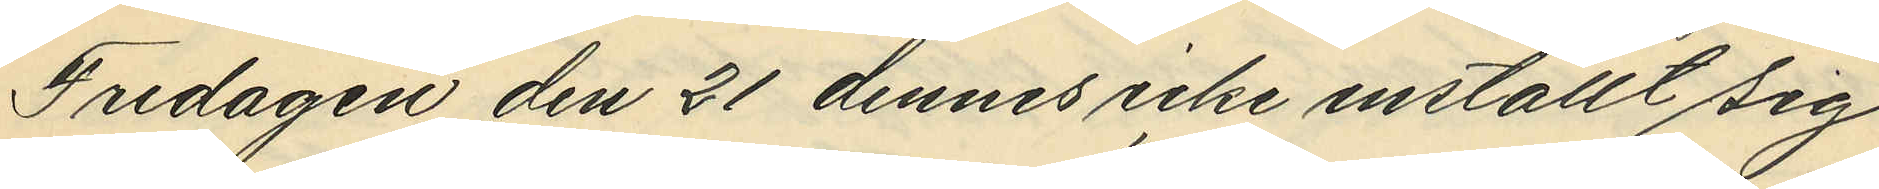Fredagen den 21 dennes icke inställt sig
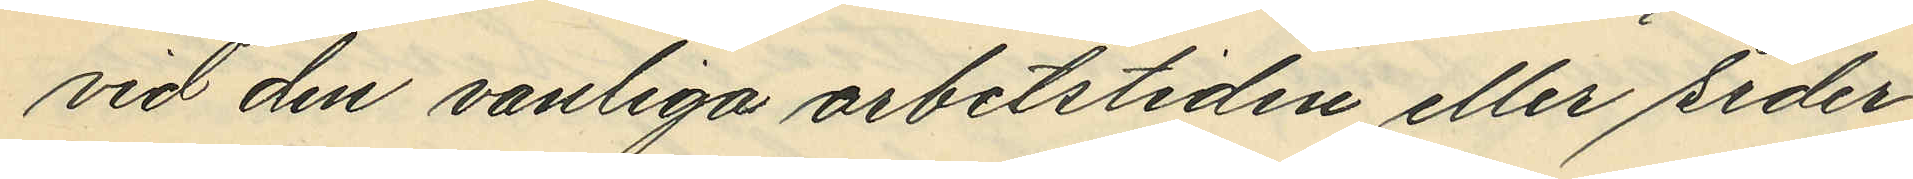vid den vanliga arbetstiden eller seder¬
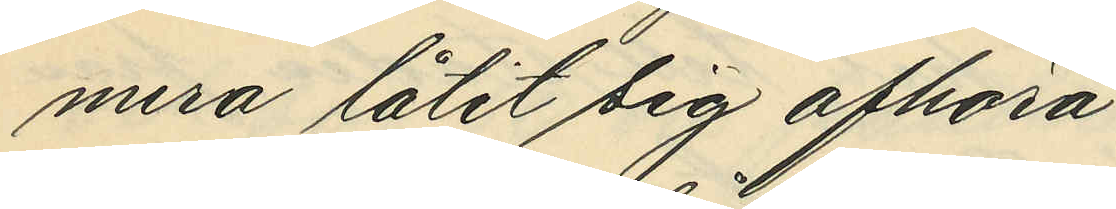mera låtit sig afhöra,
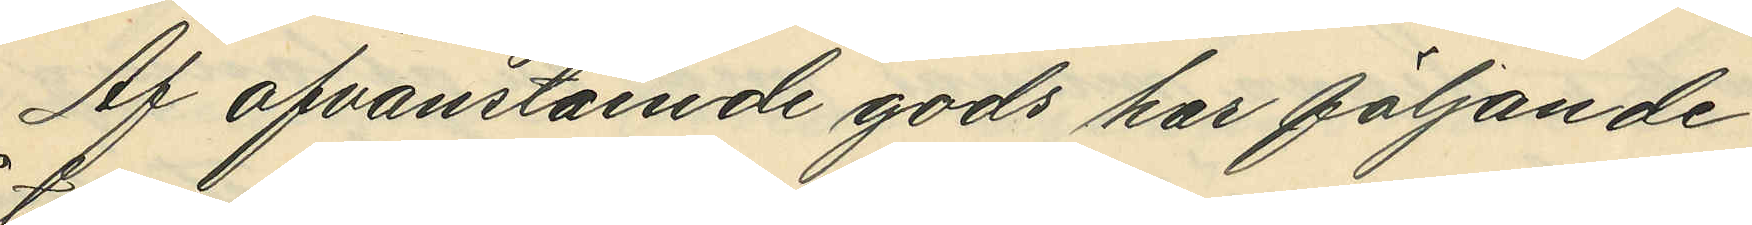Af ofvanstående gods har följande
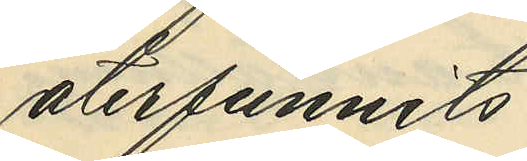återfunnits:
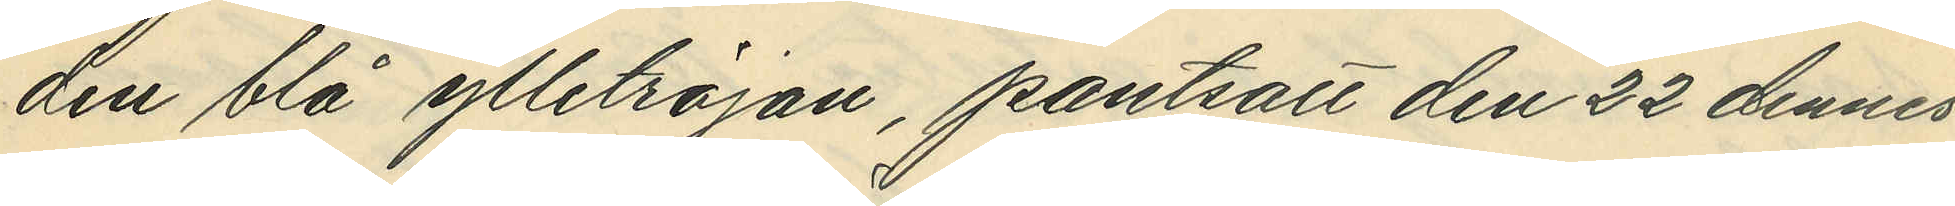den blå ylletröjan, pantsatt den 22 dennes
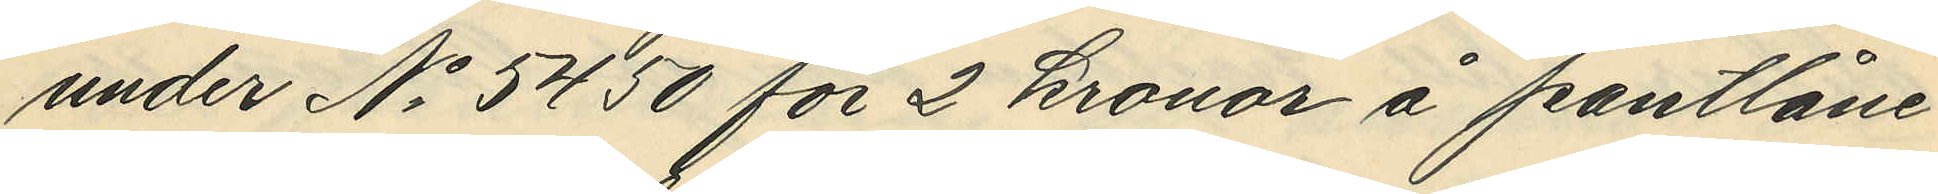under No 5450 för 2 kronor å pantlåne¬
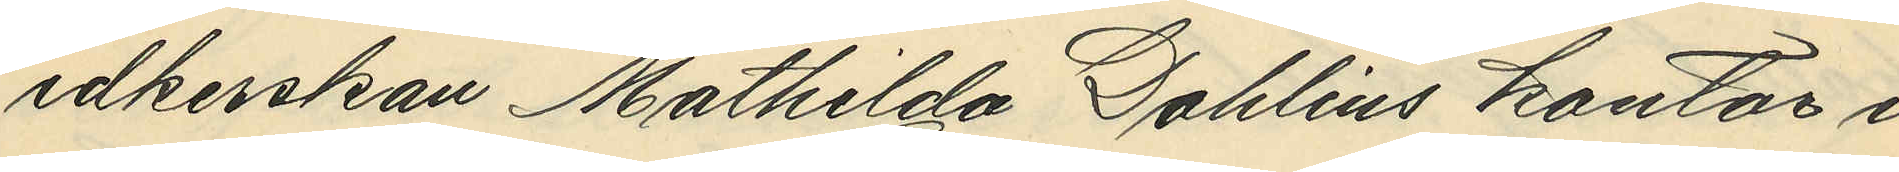idkerskan Mathilda Dahlins kontor i
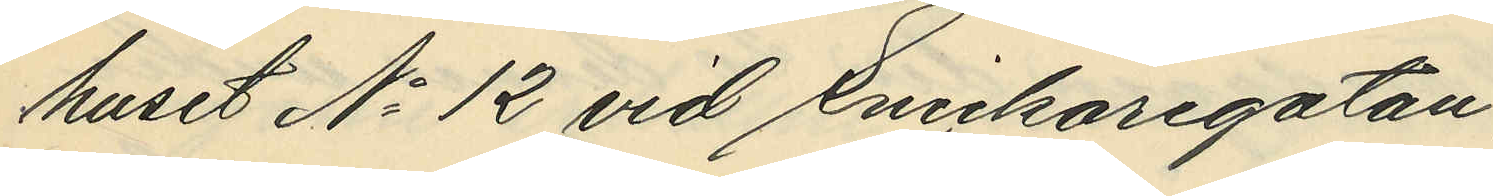huset No 12 vid Snickaregatan,
